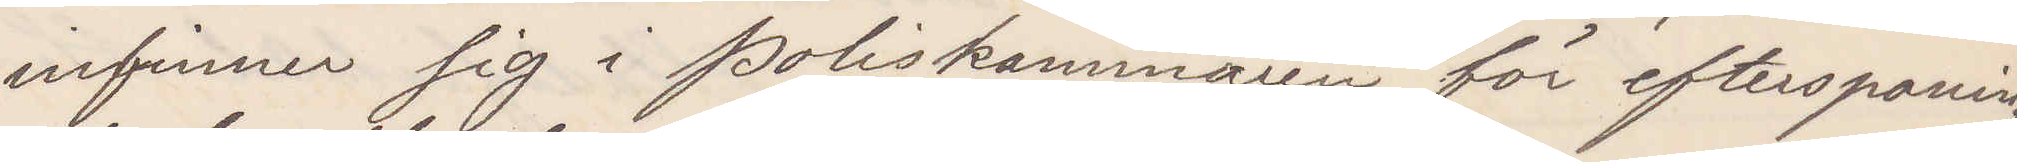infinner sig i poliskammaren för efterspaning
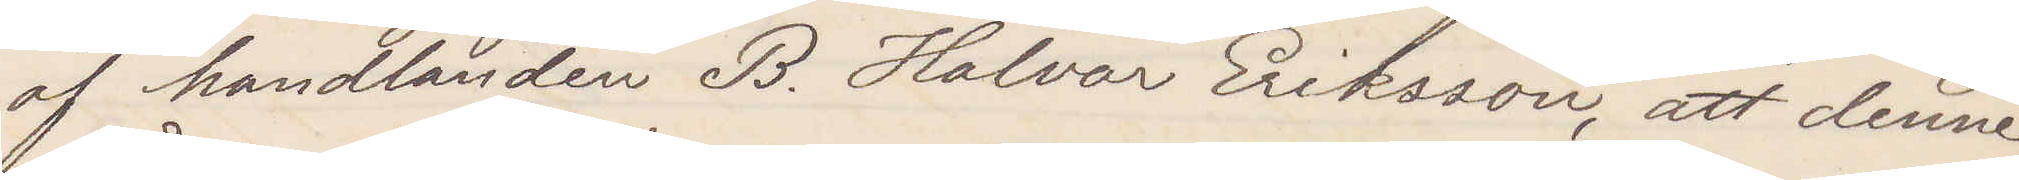af handlanden B. Halvor Eriksson, att denne
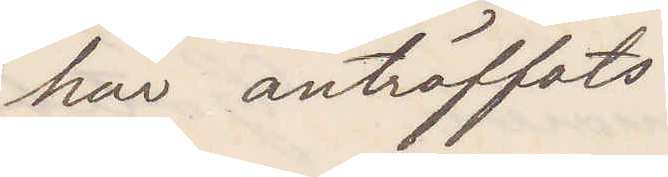här anträffats.
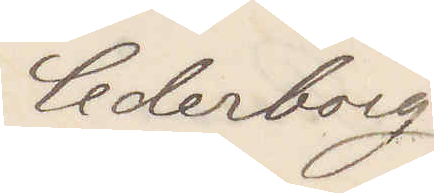Cederborg
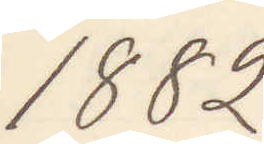1882
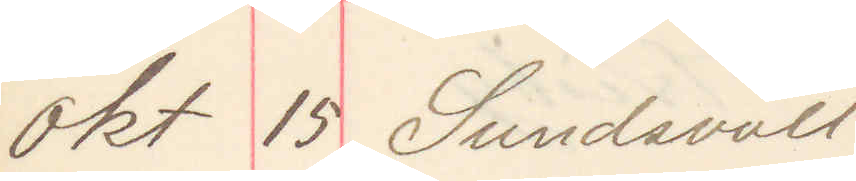okt 15 Sundsvall
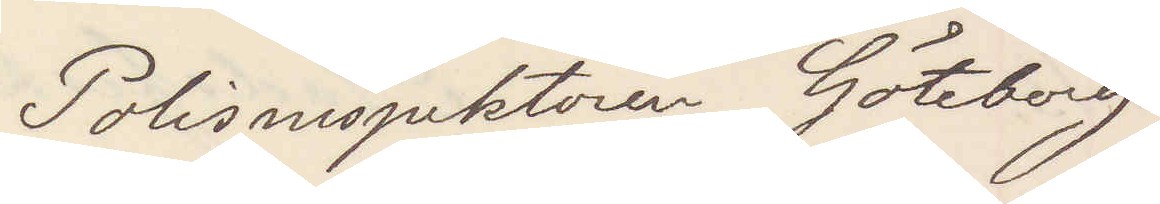Polisinspektören Göteborg
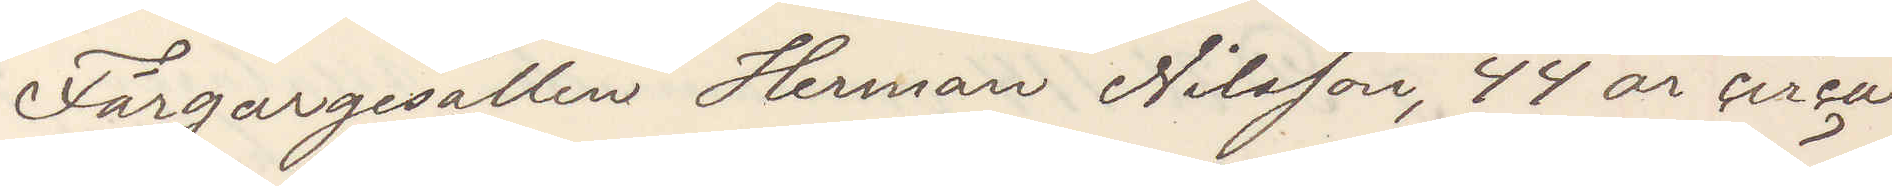Färgargesällen Herman Nilsson, 44 år cirka
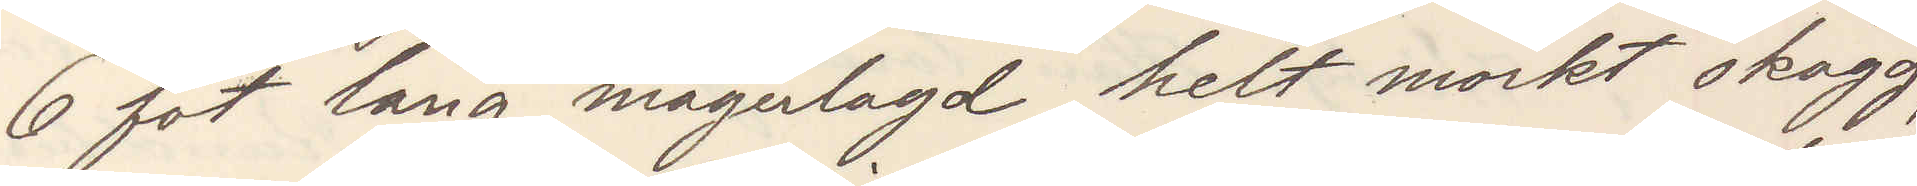6 fot lång, magerlagd helt mörkt skägg,
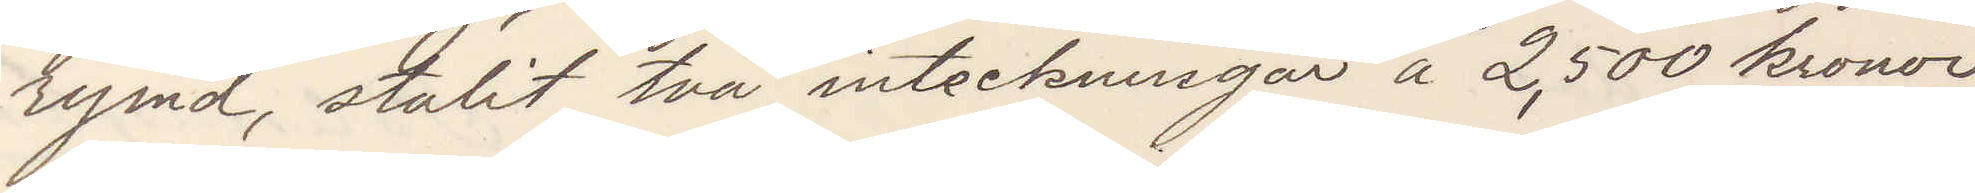rymd, stulit två inteckningar å 2,500 kronor,
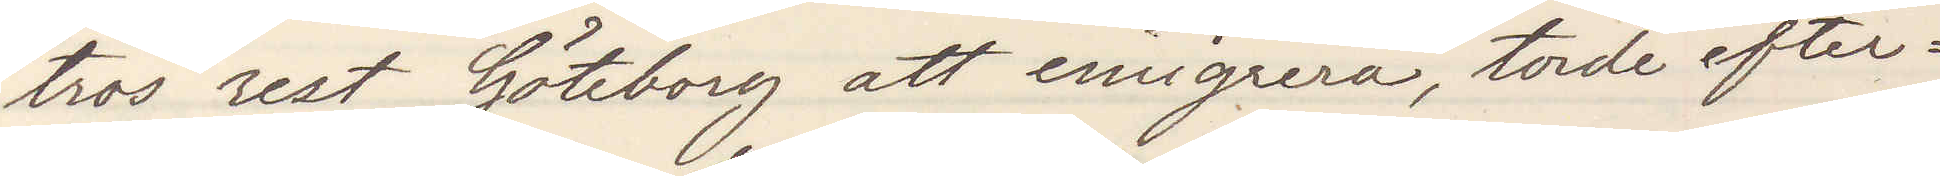tros rest till Göteborg att emigrera, torde efter¬
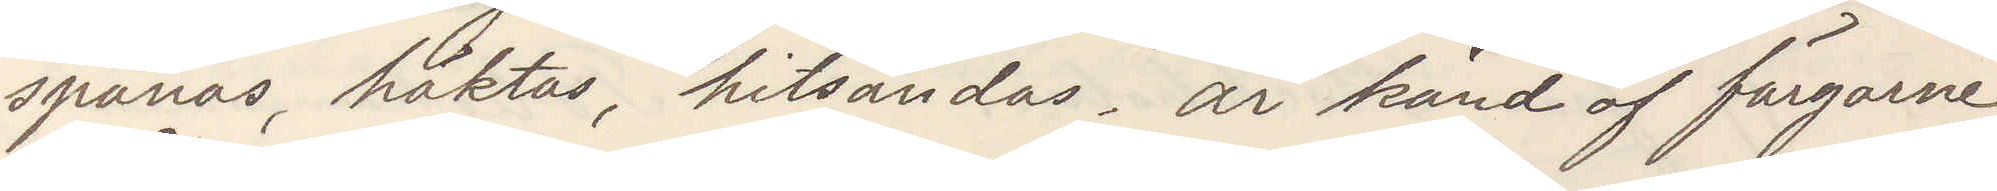spanas, häktas, hitsändas. är känd af färgarne
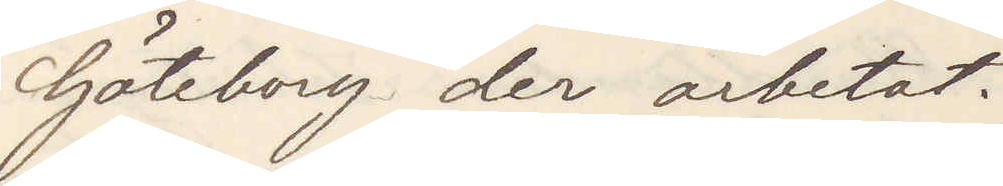Göteborg der arbetat.
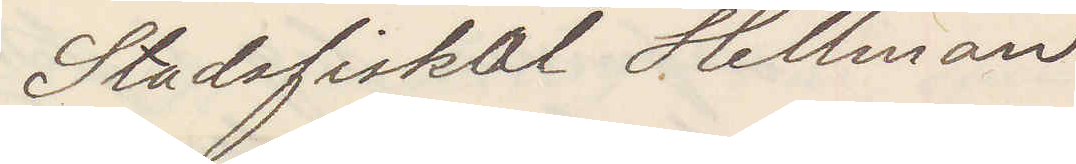Stadsfiskal Hellman
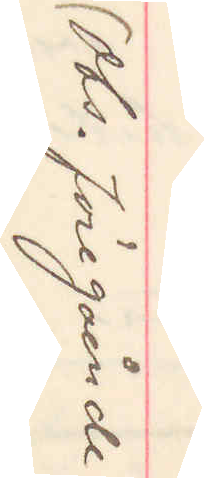(Obs. föregående
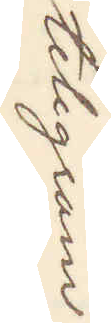telegram)
